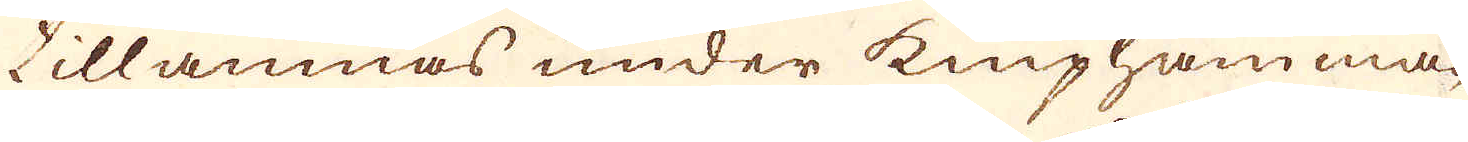tillämnas under kniphamma-
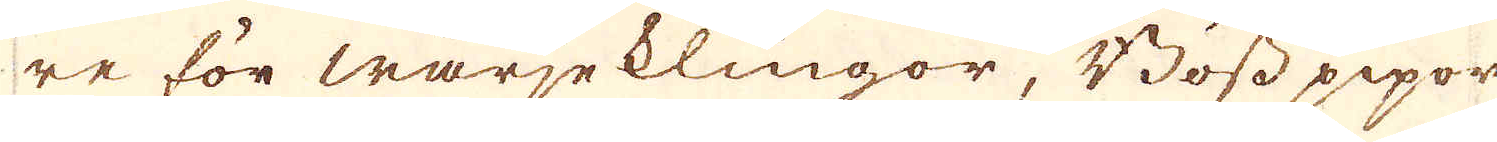re för wärjeklingor, Bösspipor
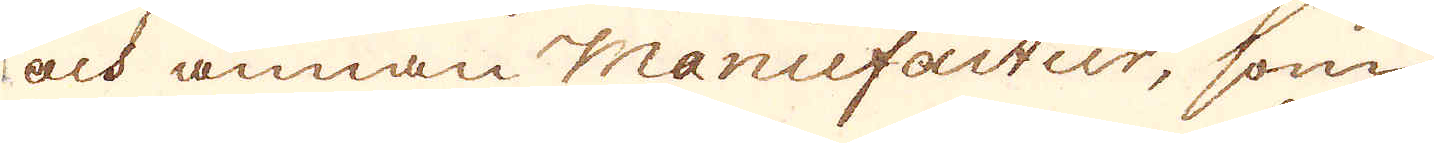och annan Manufactur, som
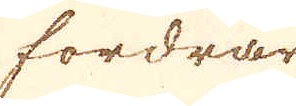fordrar
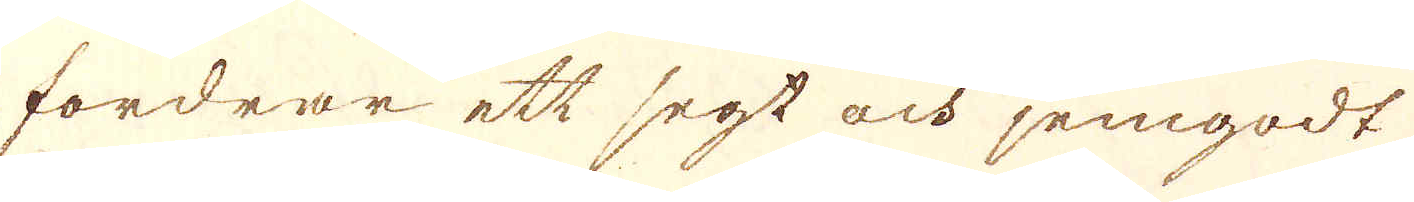fordrar ett segt och jemgodt
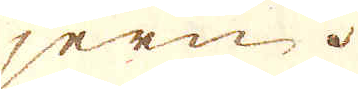jern.
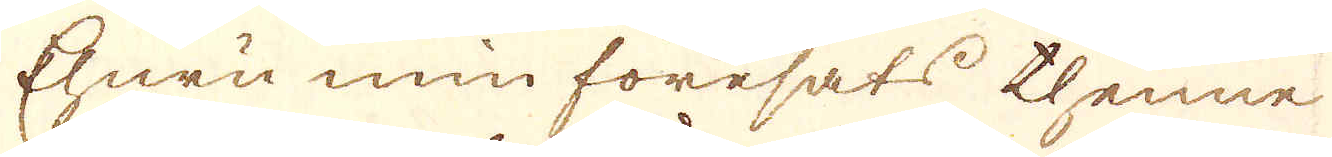Ehuru min föresats thenne
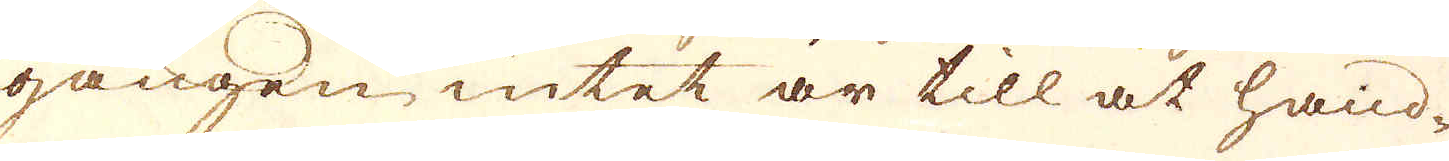gången intet är till at hand-
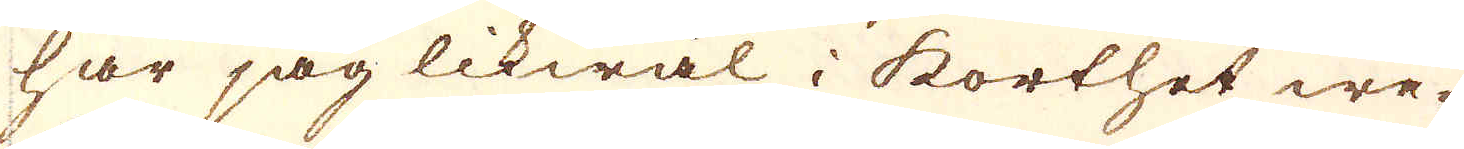har jag likwäl i korthet we-
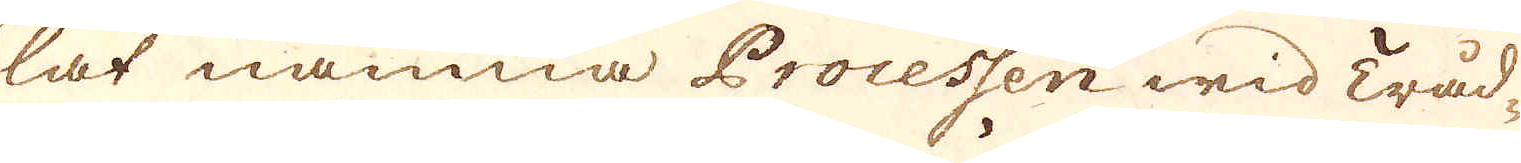lat nämna Processen wid Tråd-
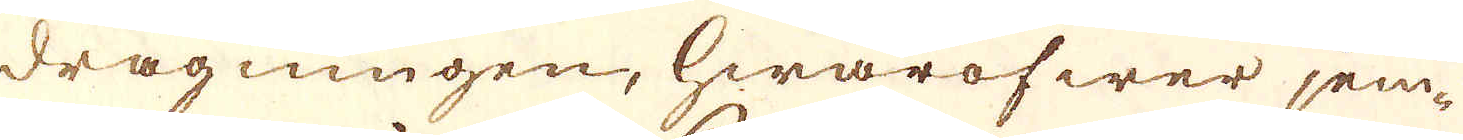dragningen, hwaröfwer jem-
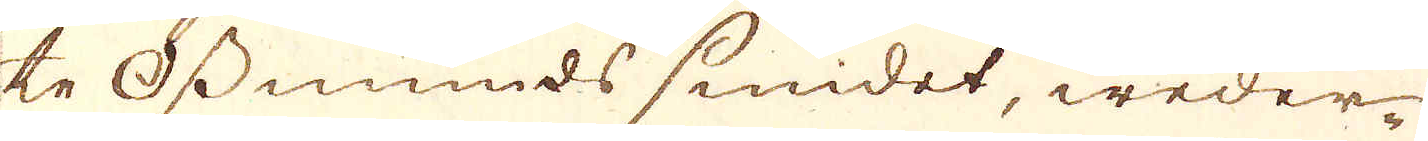te Osmunds smidet, weder-
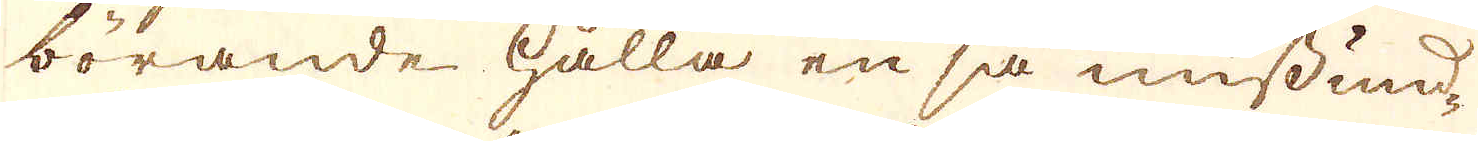börande hålla en så missund-
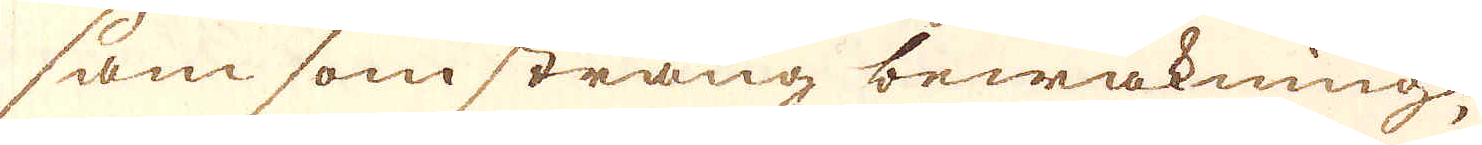sam som sträng bewakning,
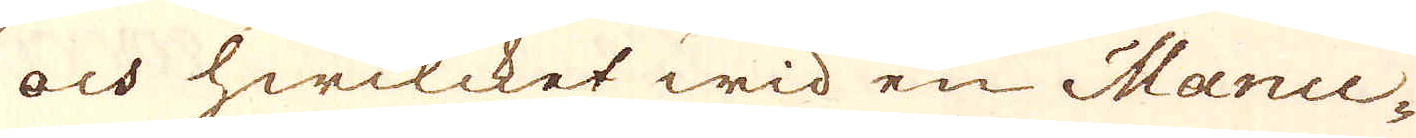och hwilcket wid en Manu-
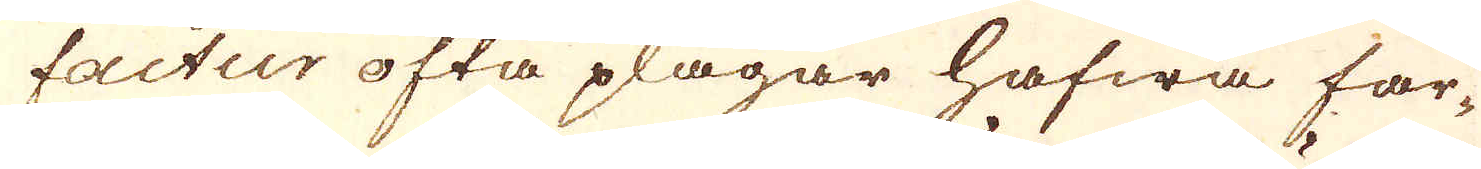factur ofta plägar hafwa far-
